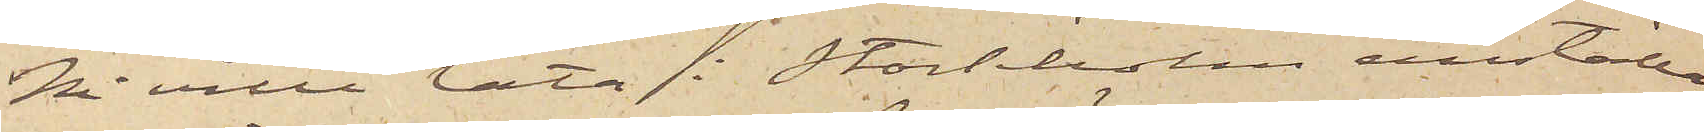Ni ville låta i Stockholm anställa
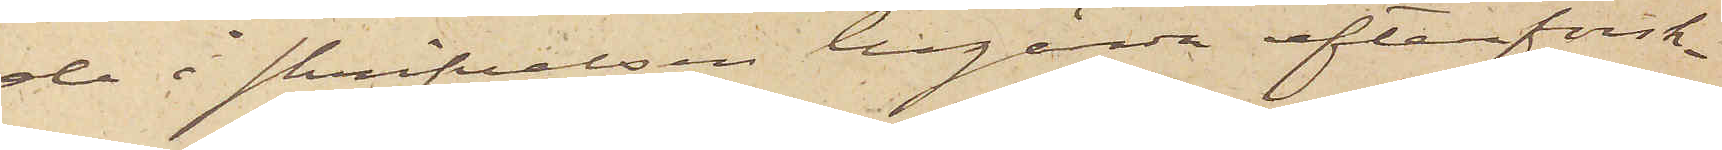de i skrifvelsen begärda efterforsk¬
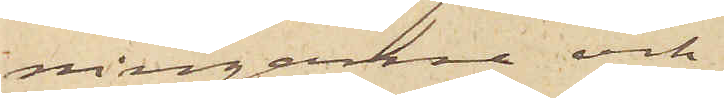ningarne och
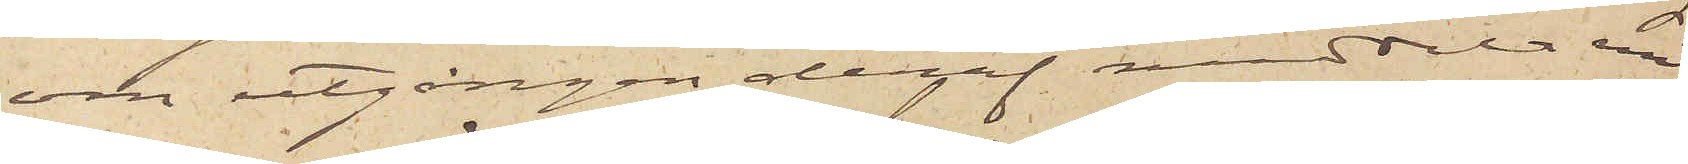om utgången deraf meddela mig
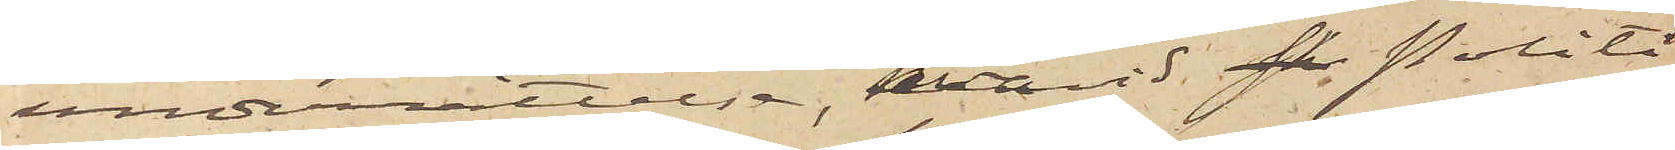underrättelse, hvarvid skr Politi¬
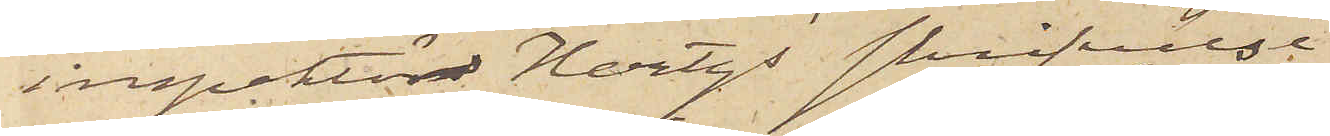inspektör Hertzs skrifvelse
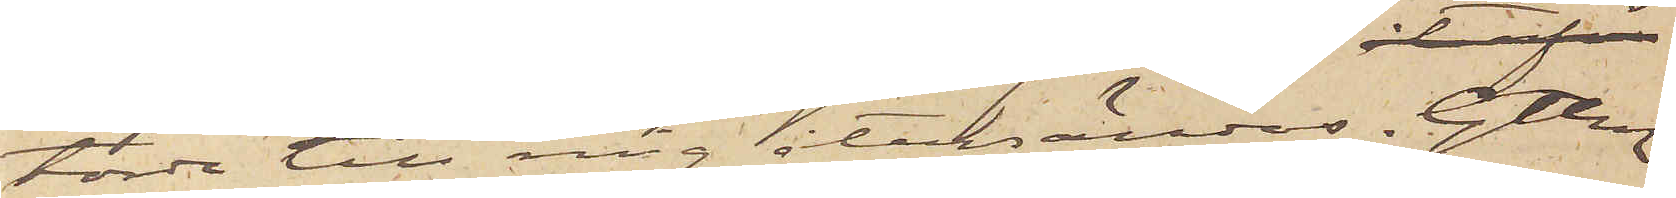torde till mig återsändas. Gtbg
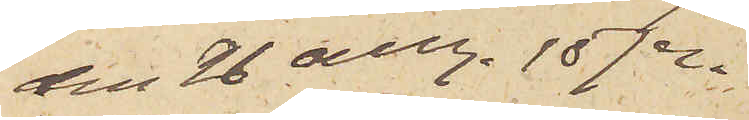den 26 aug. 1874.
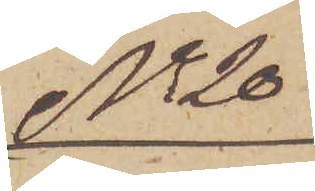No 20
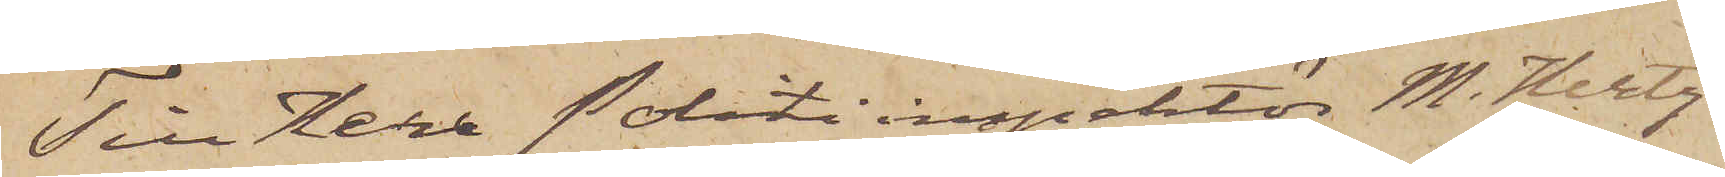Till Herr Politiinspektör M. Hertz.
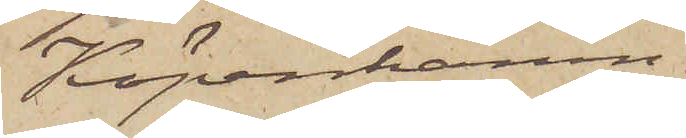Köpenhamn
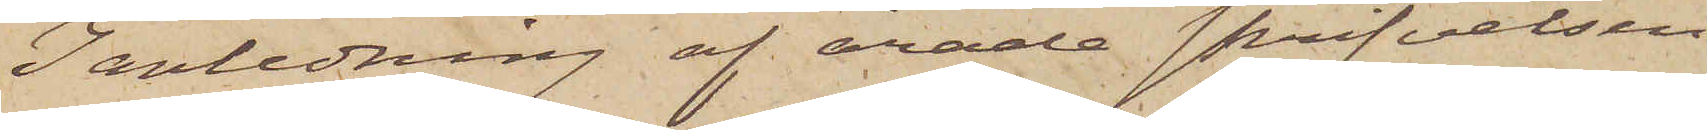I anledning af ärade skrifvelsen
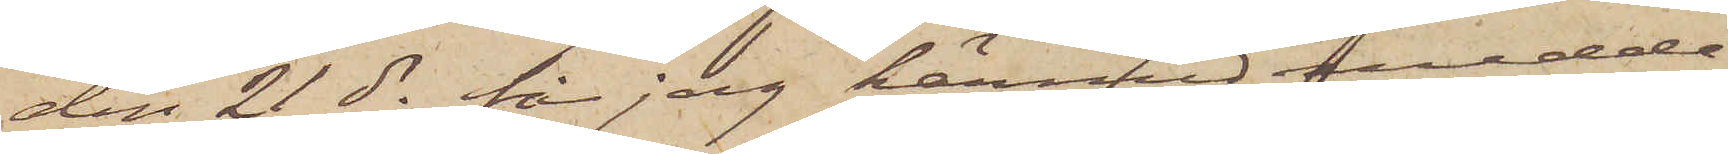den 21 ds får jag härmed medde¬
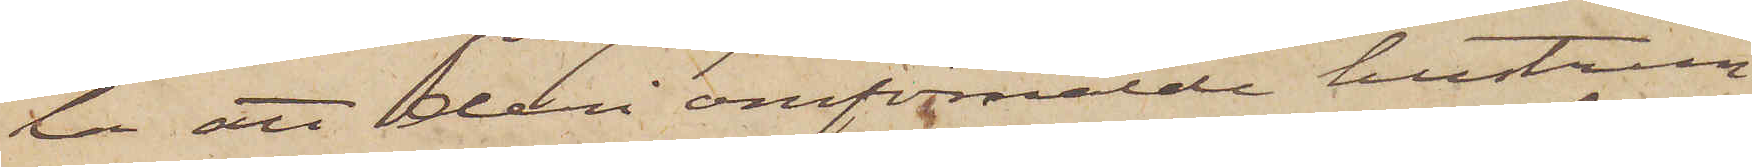la att deri omförmälde hustrun
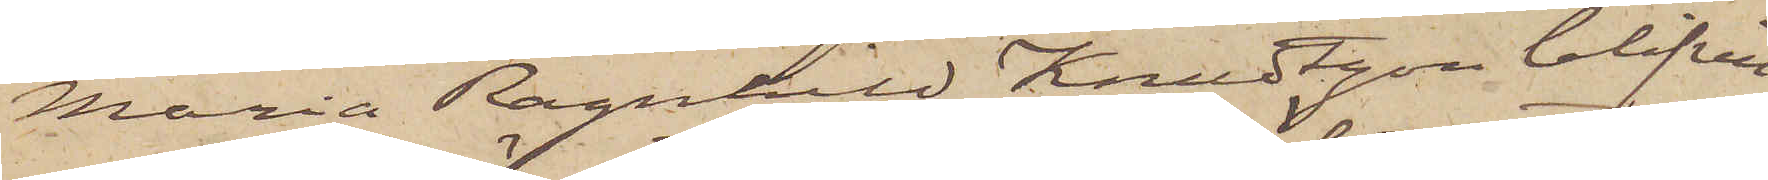Maria Ragnhild Knudtzon blifvit
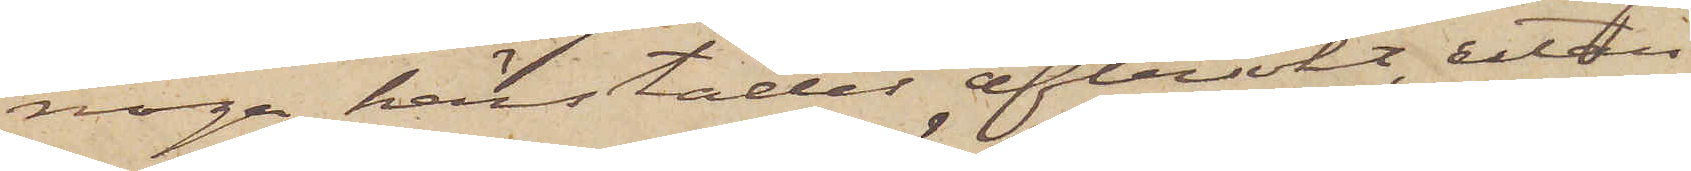noga härstädes eftersökt, utan
